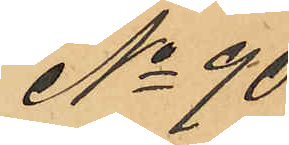No 90
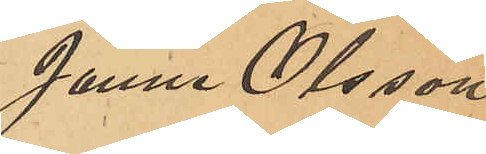Janne Olsson
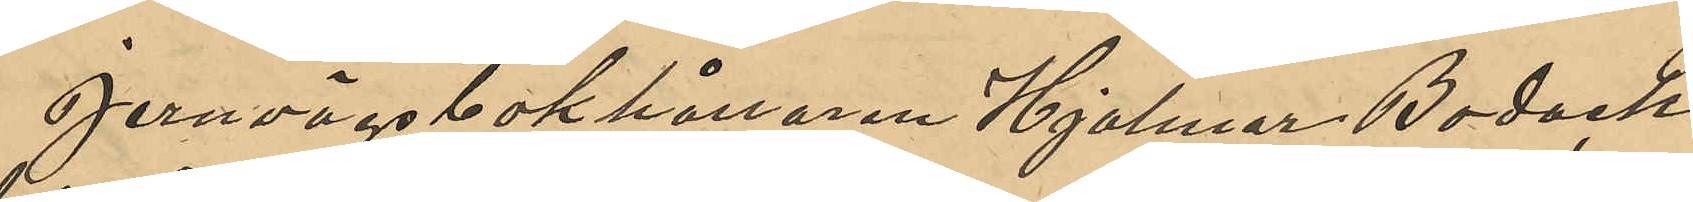Jernvägsbokhållaren Hjalmar Bodach,
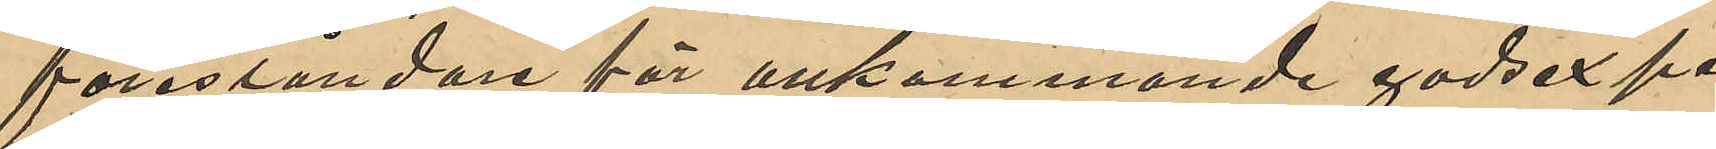föreståndare för ankommande godsexpe¬
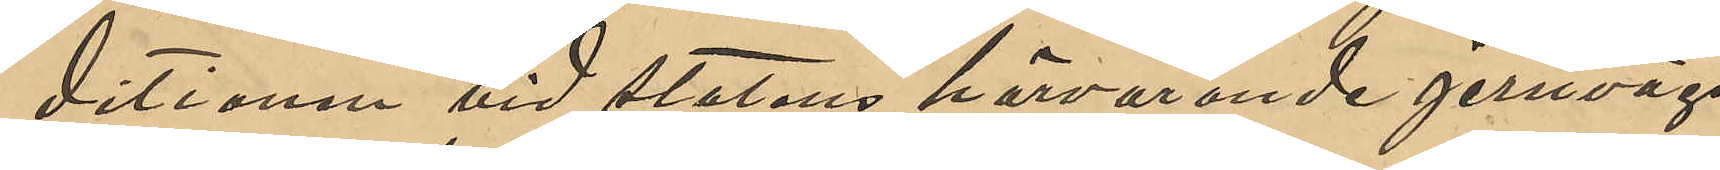ditionen vid statens härvarande jernvägs¬
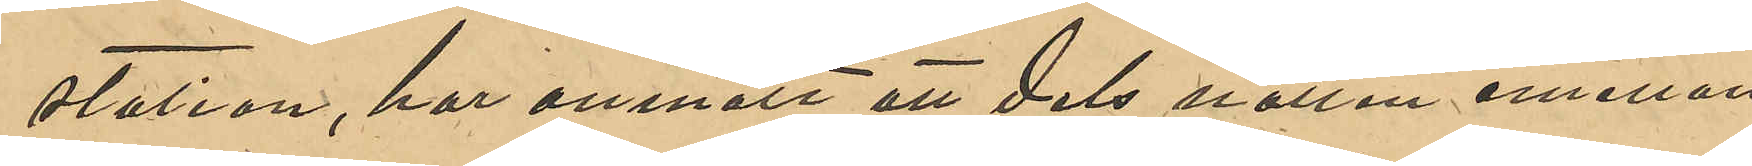station, har anmält att dels natten emellan
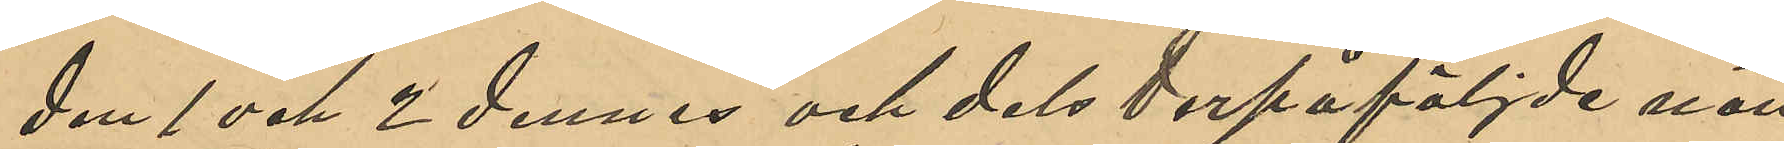den 1 och 2 dennes och dels derpåföljde natt
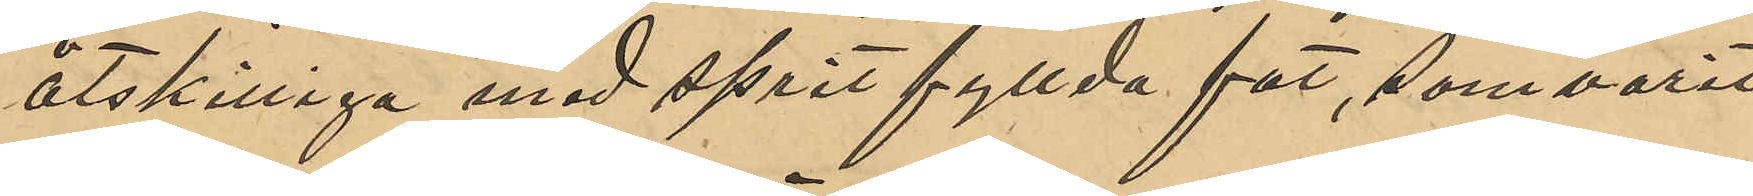åtskilliga med sprit fyllda fat, som varit 
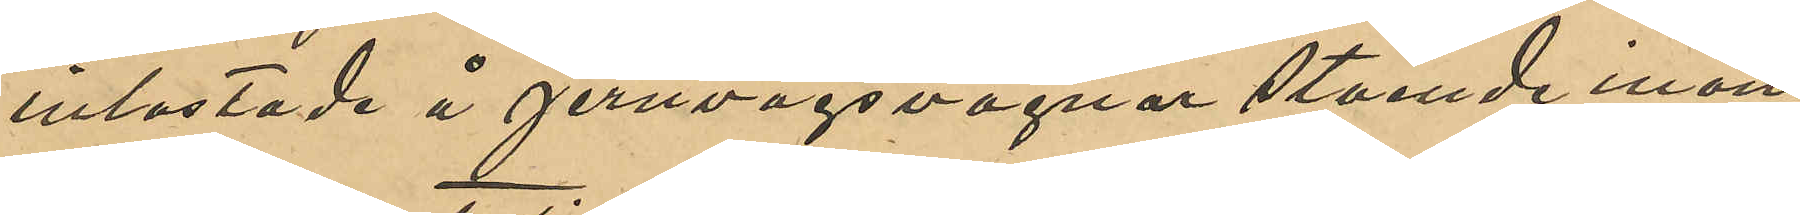inlastade å jernvägsvagnar stående inom
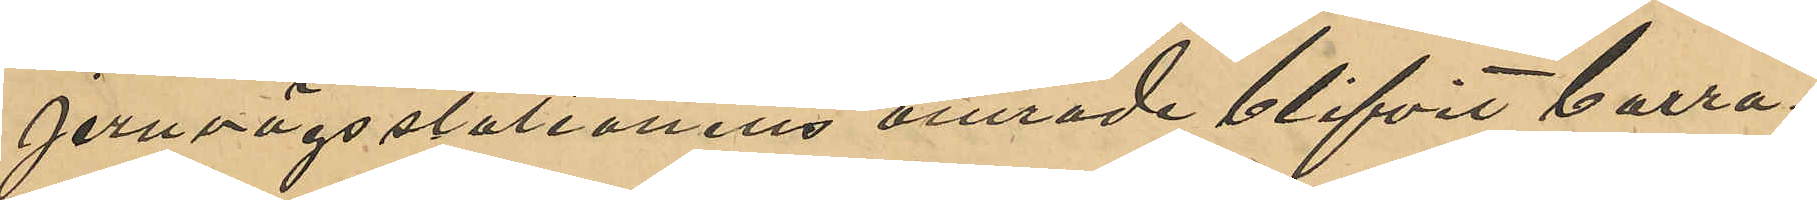jernvägststationens område blifvit borra¬
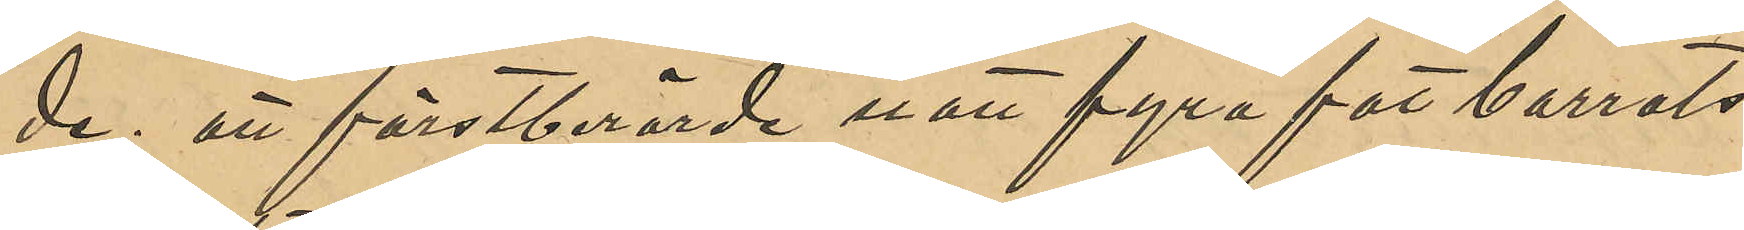de; att förstberörde natt fyra förborrats
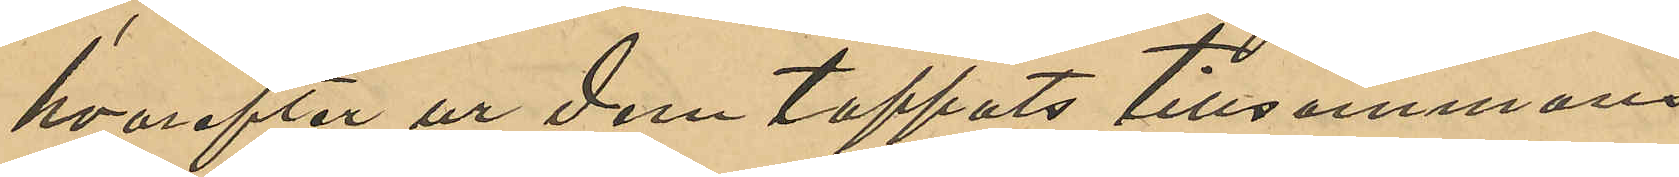hvarefter ur dem tappats tillsamman
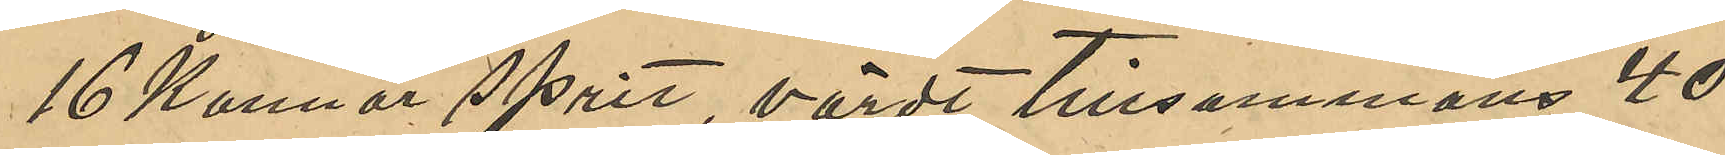16 Kannor sprit, värde tillsammans 40
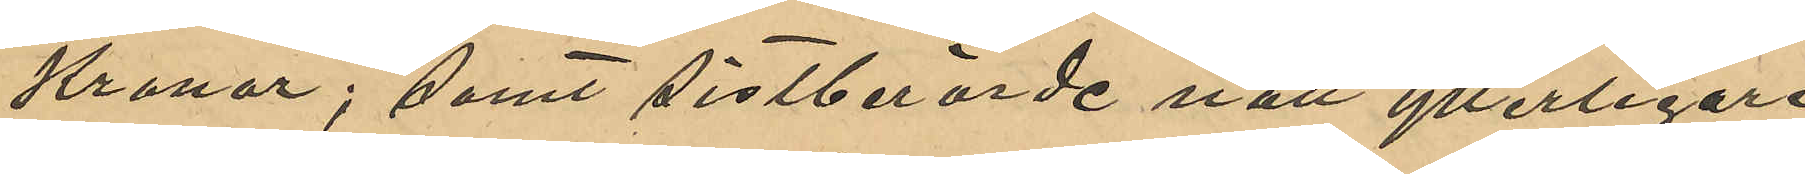Kronor; samt sistberörde natt ytterligare
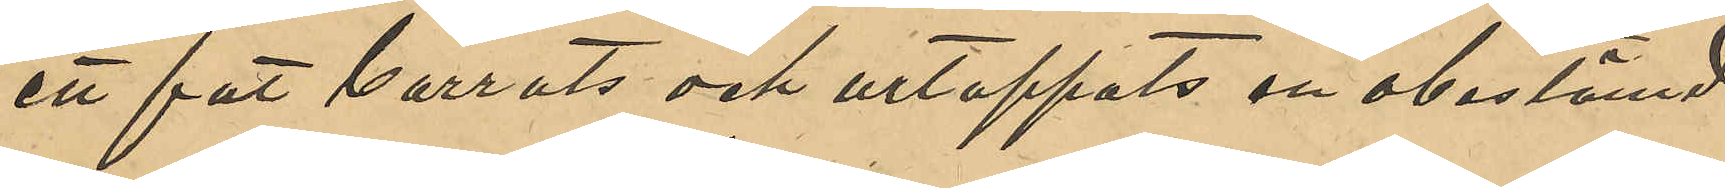ett fat borrats och urtappats en obestämd
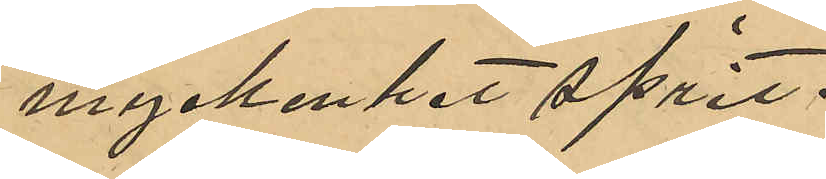myckenhet sprit.
